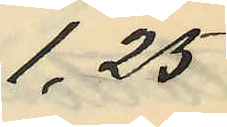1,25
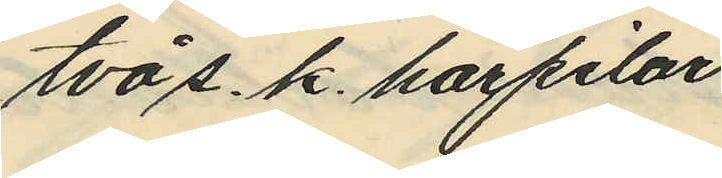två s. k. hårpilar
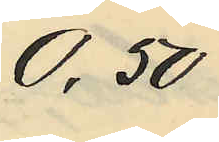0,50
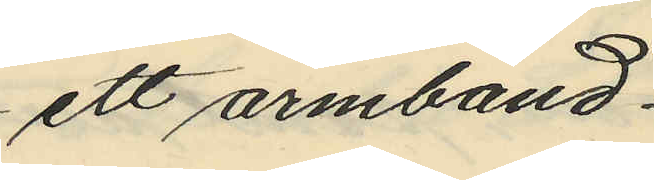ett armband
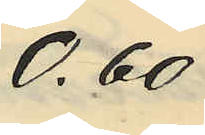0,60
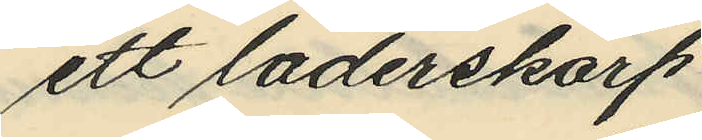ett läderskärp
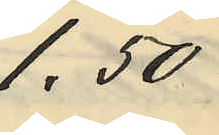1,50
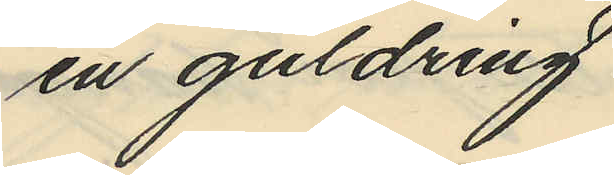en guldring
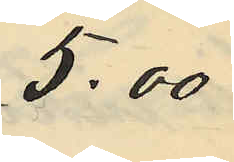5,00
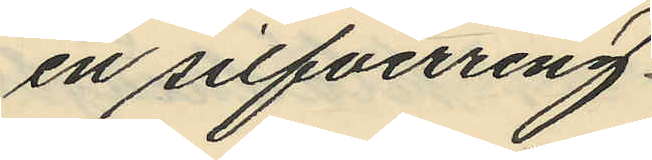en silfverring
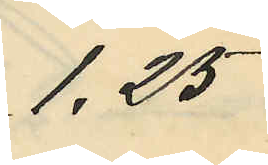1,25
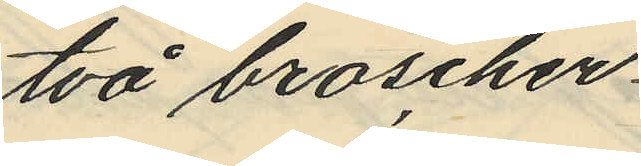två broscher
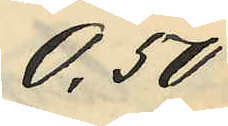0,50
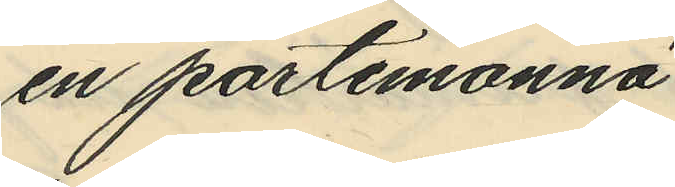en portemonnä
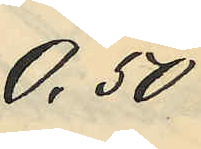0,50
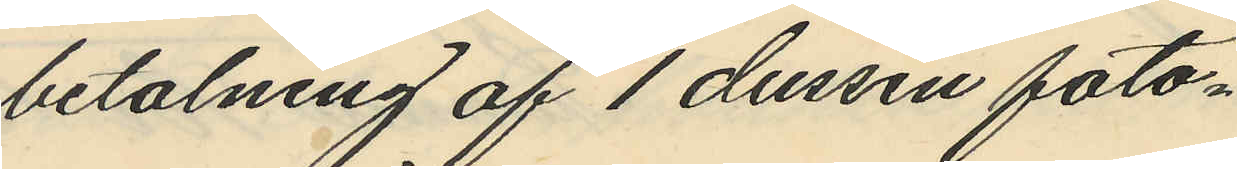betalning af 1 dussin foto¬
